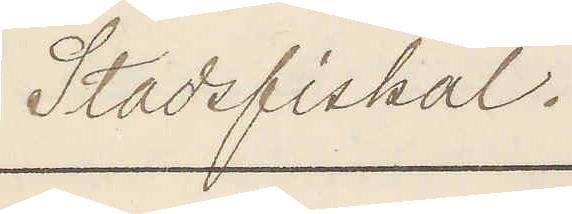Stadsfiskal.
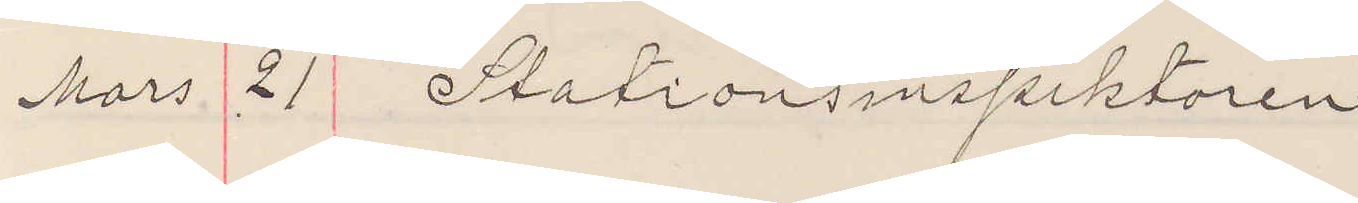Mars 21 Stationsinspektoren
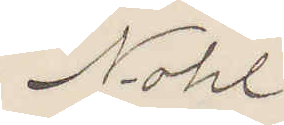Nohl
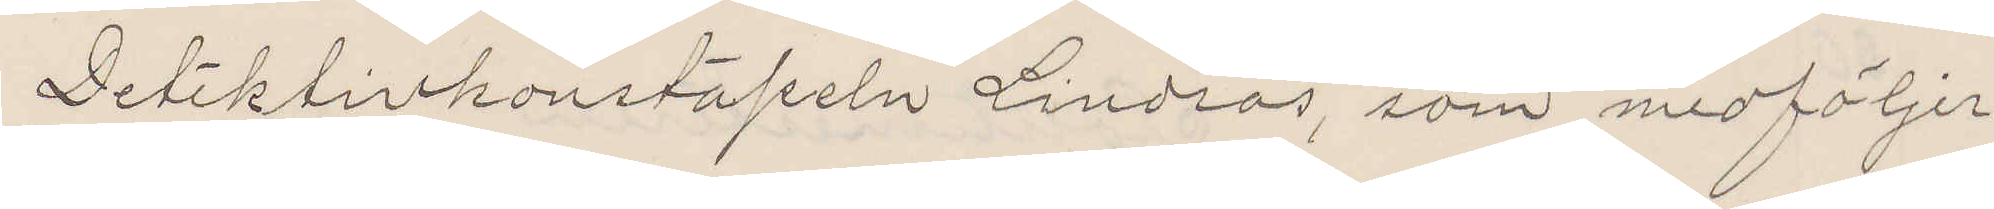Detektivkonstapeln Lindros, som medföljer
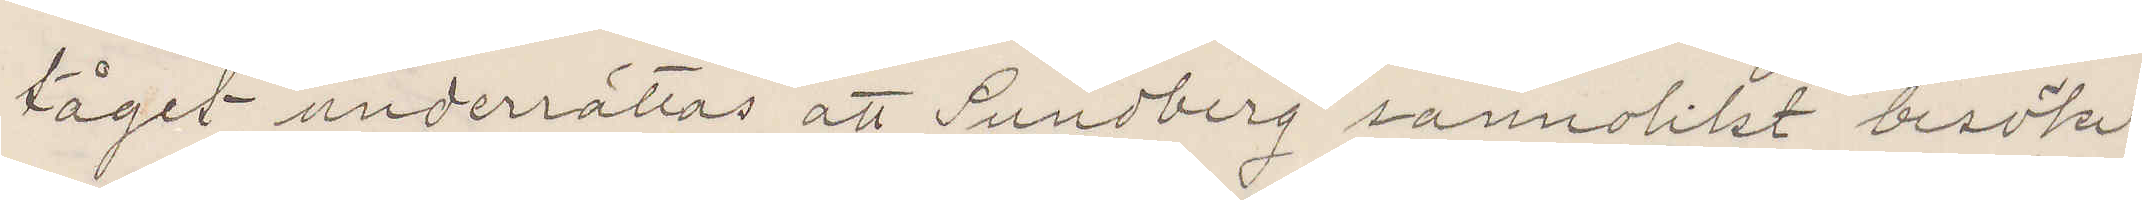tåget underrättas att Sundberg sannolikt besöker
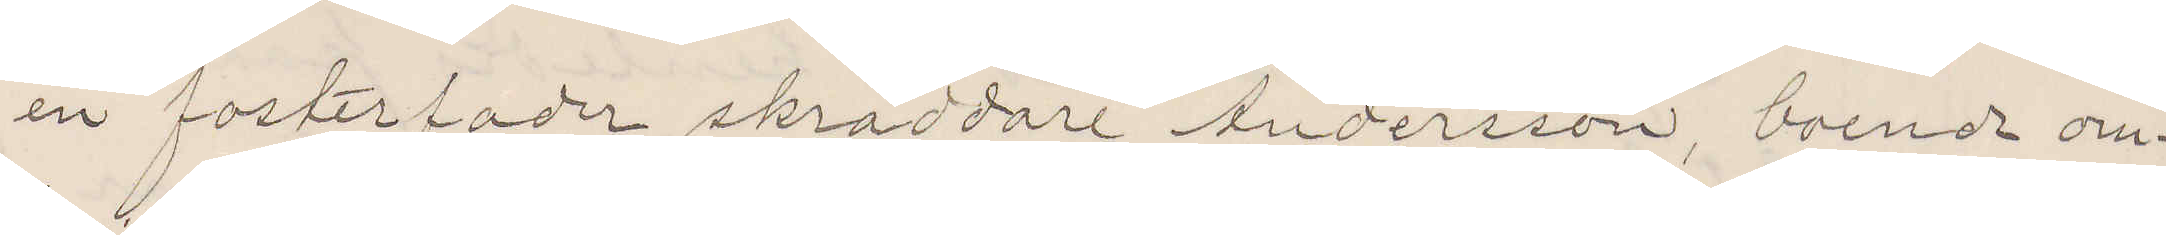en fosterfader skräddare Andersson, boende om¬
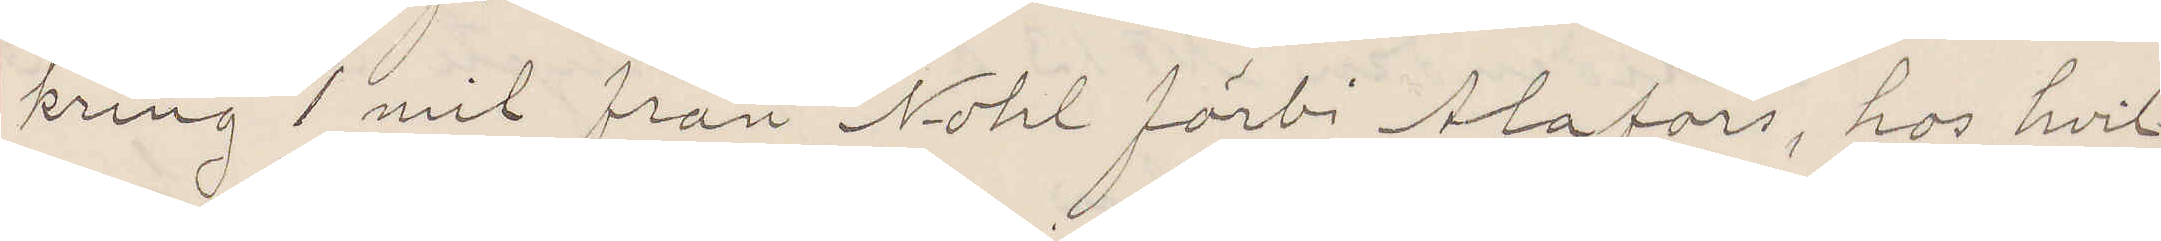kring 1 mil från Nohl förbi Alafors, hos hvil¬
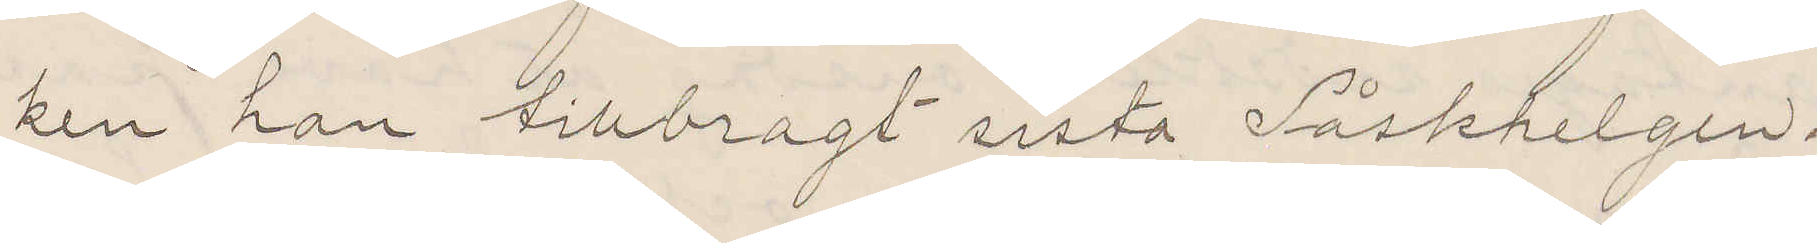ken han tillbragt sista Påskhelgen.
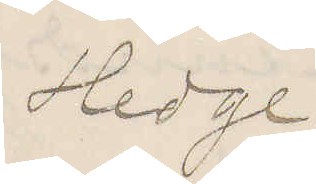Hedge
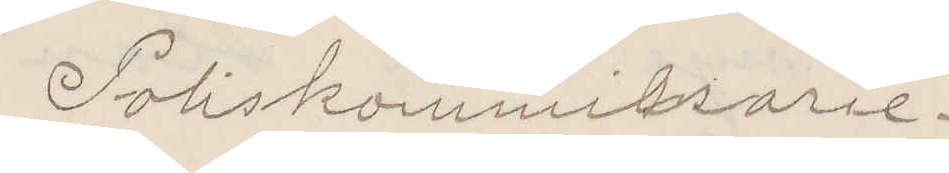Poliskommissarie.
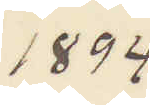1894
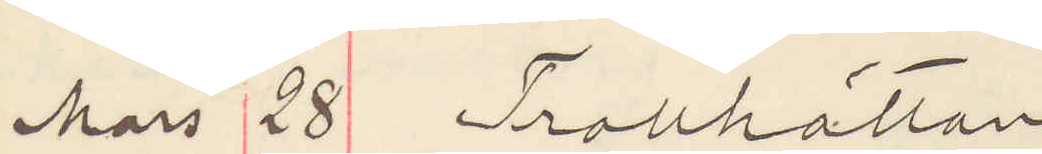Mars 28 Trollhättan
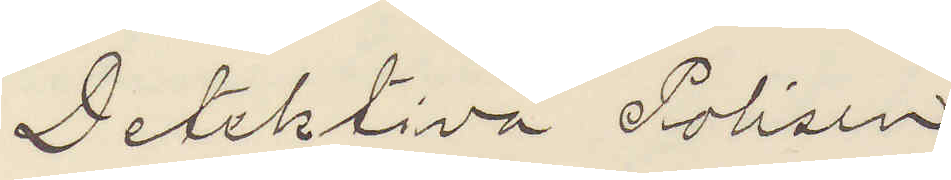Detektiva Polisen
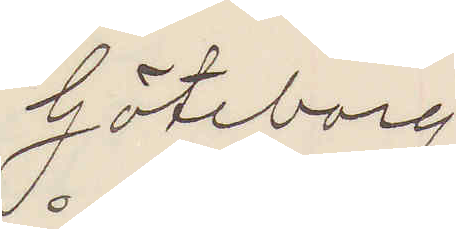Göteborg
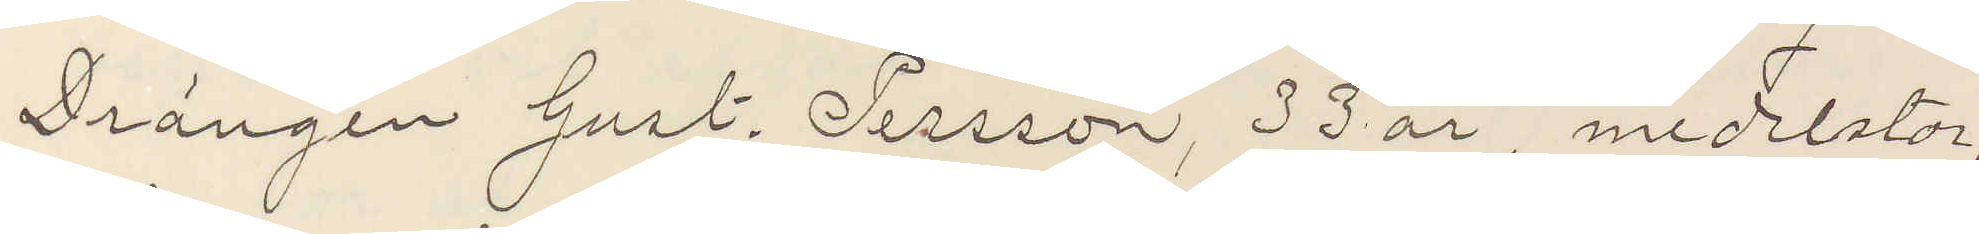Drängen Gust. Persson, 33 år, medelstor,
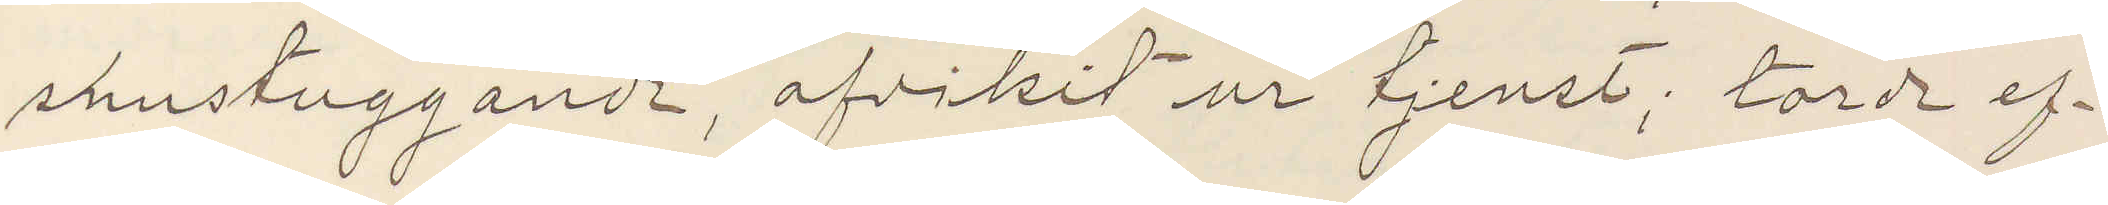snustuggande, afvikit ur tjenst; torde ef¬
